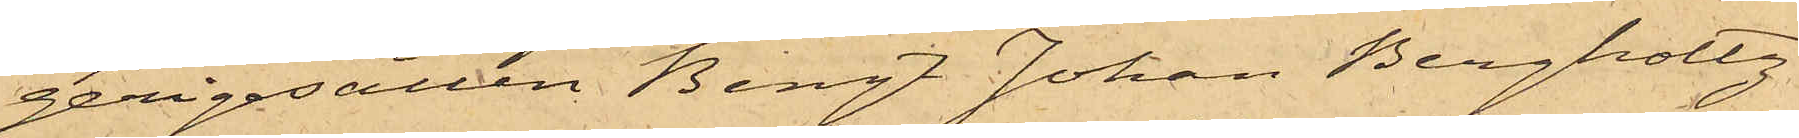gerigesällen Bengt Johan Bergholtz
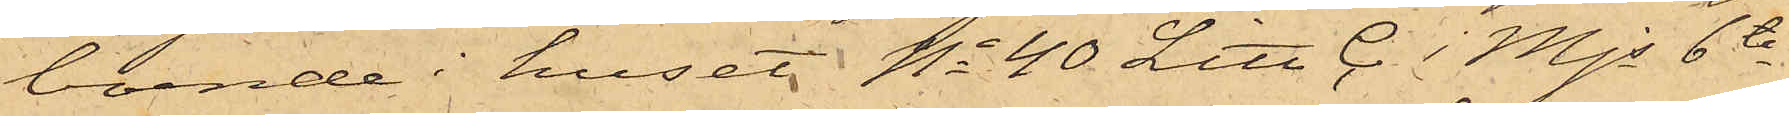boende i huset No 40 Litt C. i Mjs 6te
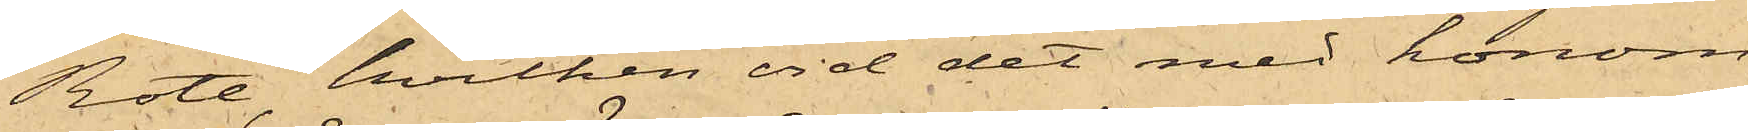Rote, hvilken vid det med honom
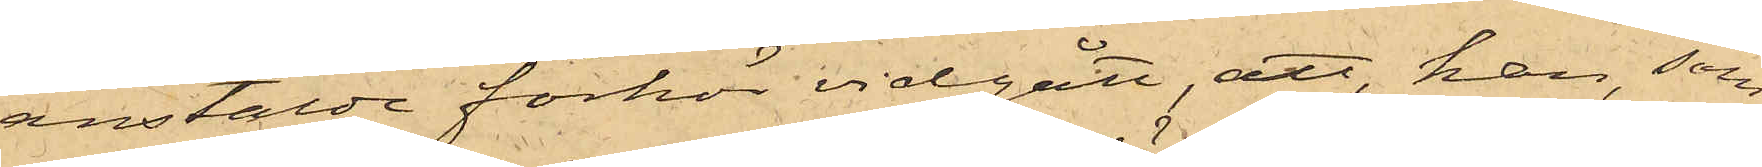anstälde förhör vidgått, att han, som
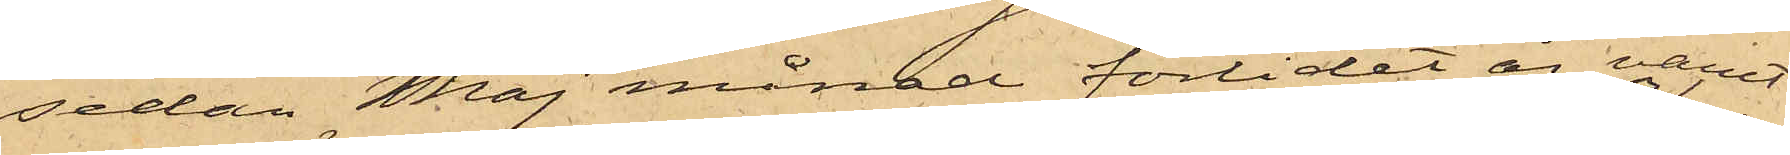sedan Maj månad förlidet år varit
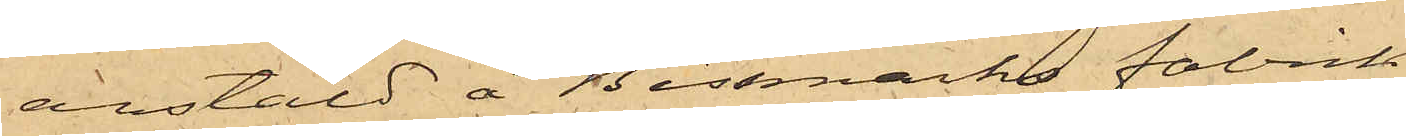anstäld å Bissmarks fabrik
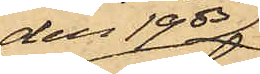den 19 ds 
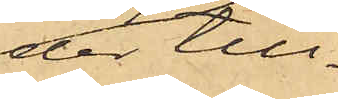der till¬
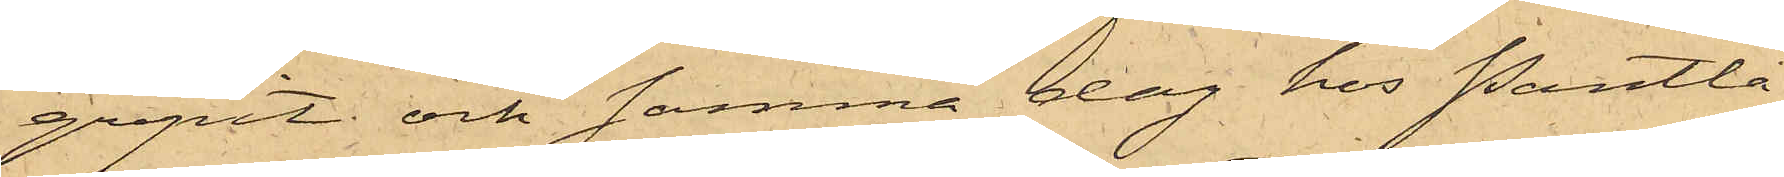gripit och samma dag hos Pantlå¬
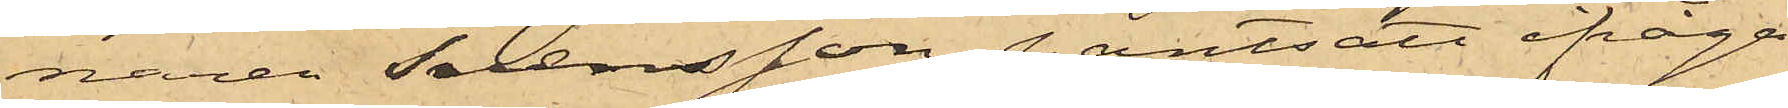naren Svensson pantsatt ifråga¬
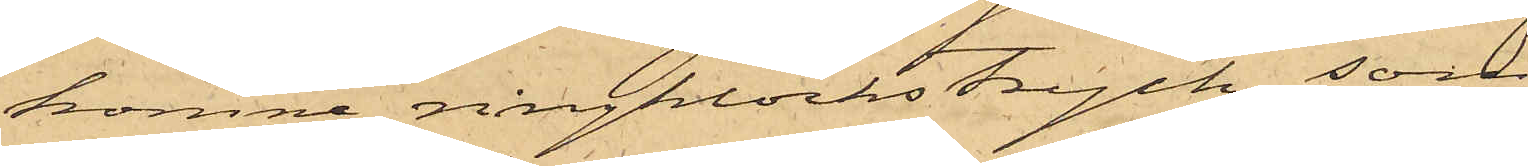komne ringklockstryck, som
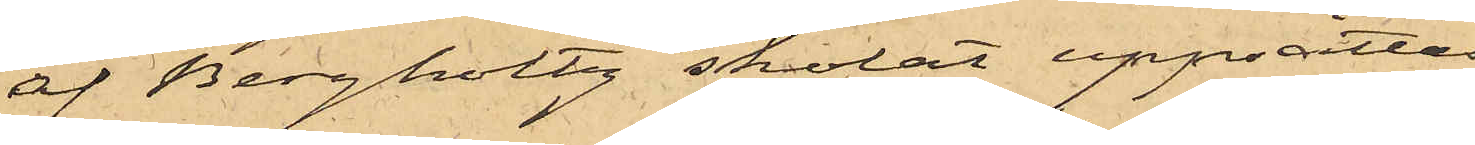af Bergholtz skolat uppsättas
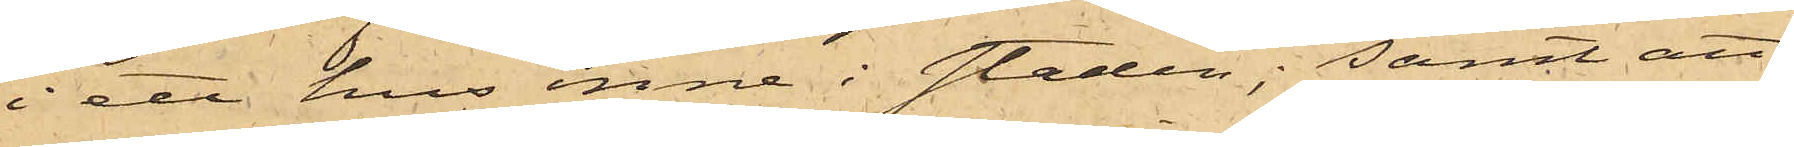i ett hus inne i staden; samt att
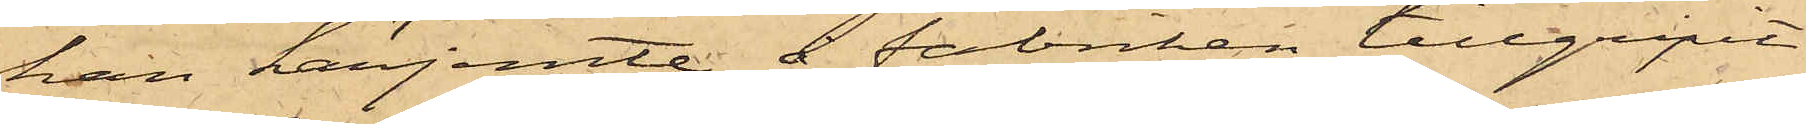han härjemte å fabriken tillgripit
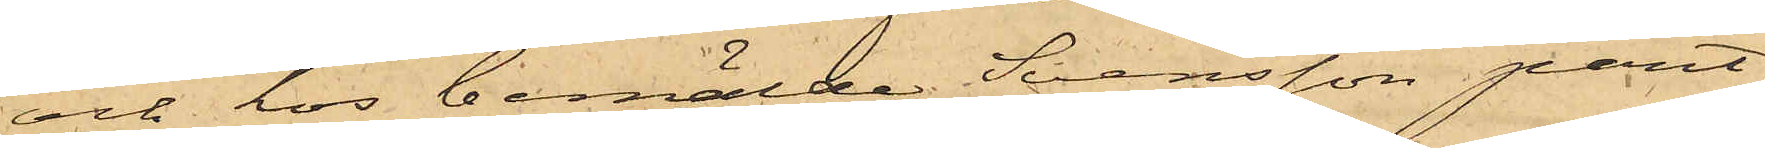och hos bemälde Svensson pant¬
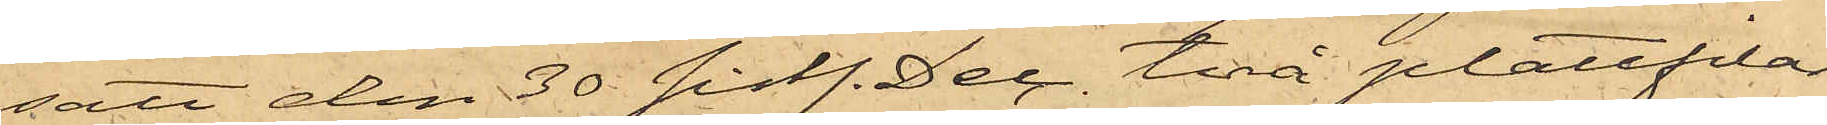satt den 30 sistl. Dec. två plattfilar
